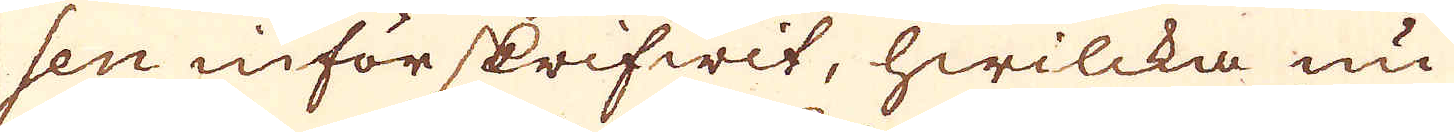sen införskrifwit, hwilcka nu
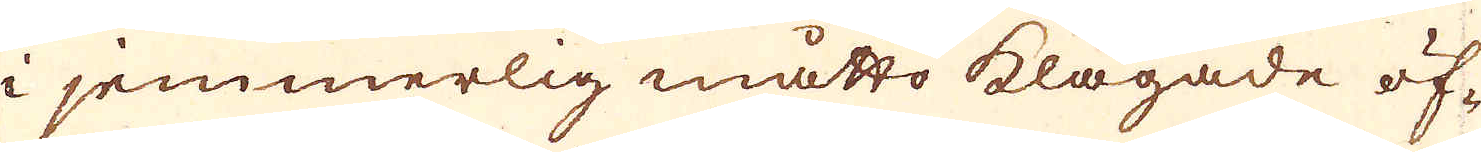i jemmerlig måtto klagade öf-
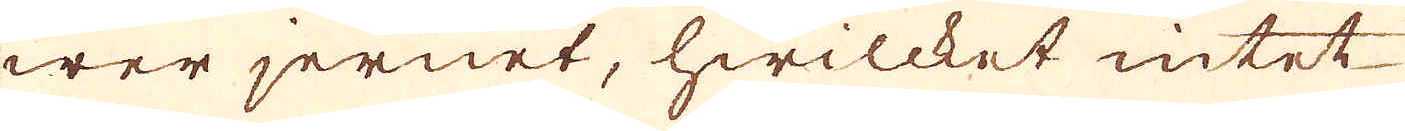wer jernet, hwilcket intet
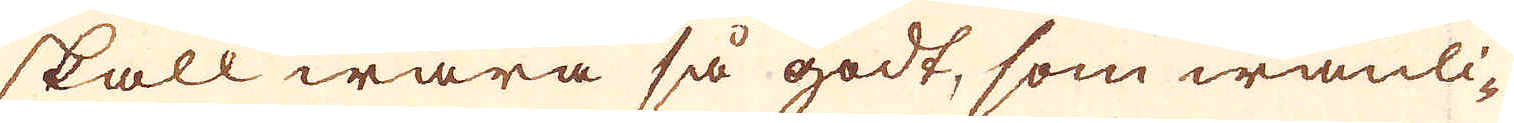skall wara så godt, som wanli-
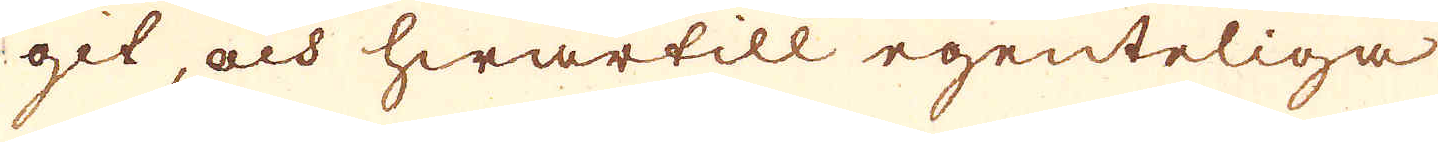git, och hwartill egenteliga
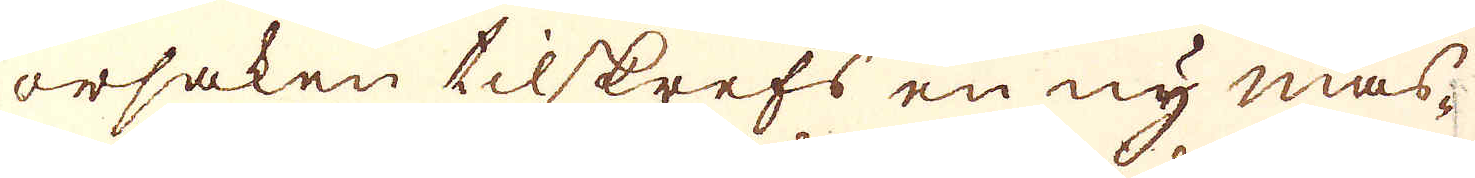orsaken tilskrefs en ny mas-
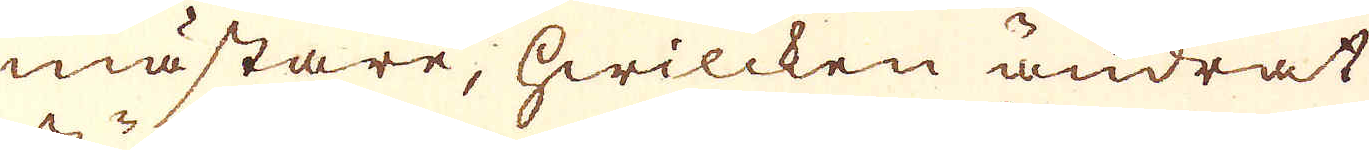mästare, hwilcken ändrat
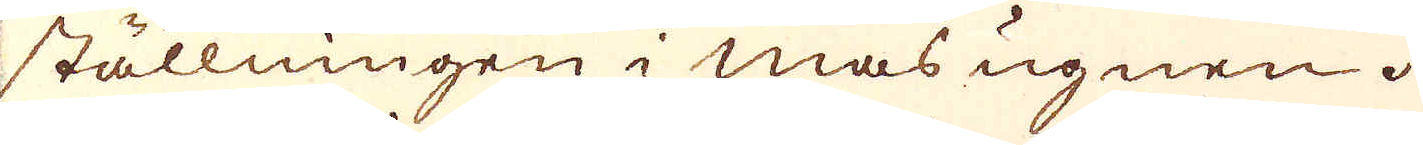ställningen i mas ugnen.
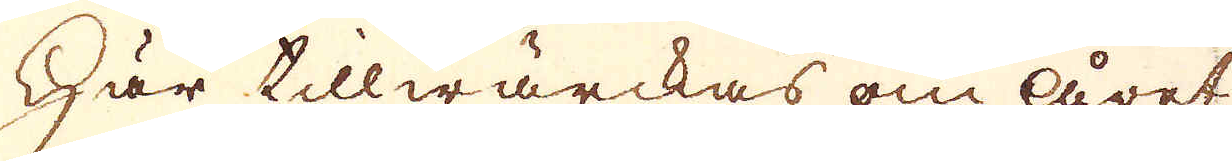Här tillwärckas om året
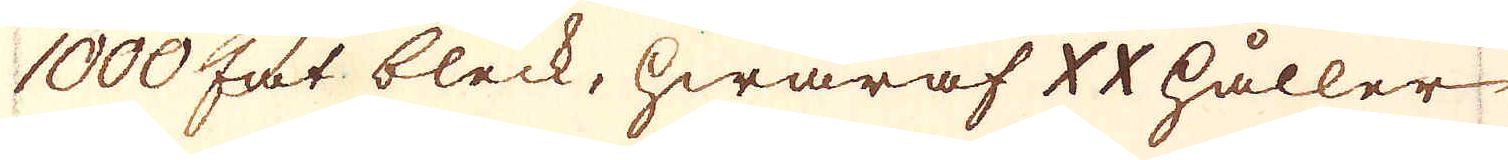1000 fat bleck, hwaraf XX håller
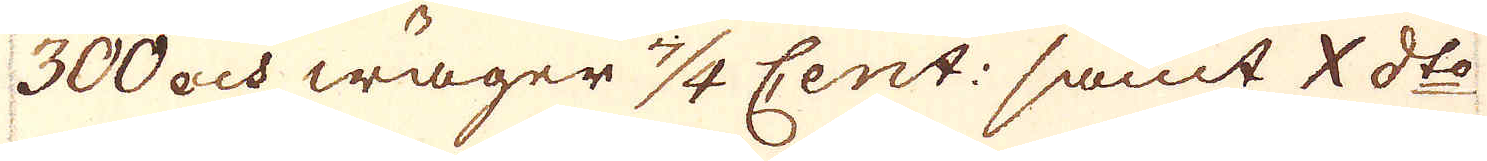300 och wäger 7/4 Cent: samt X d:to
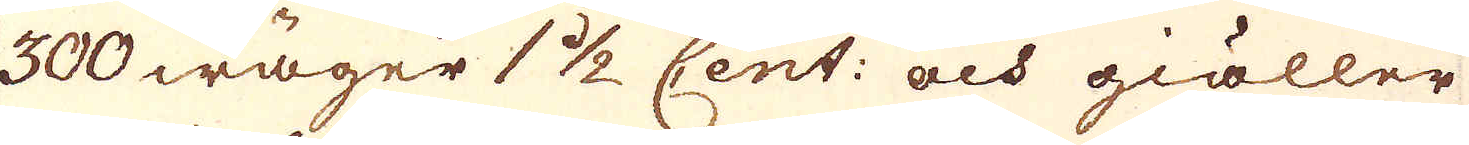300 wäger 1 1/2 Cent: och giäller
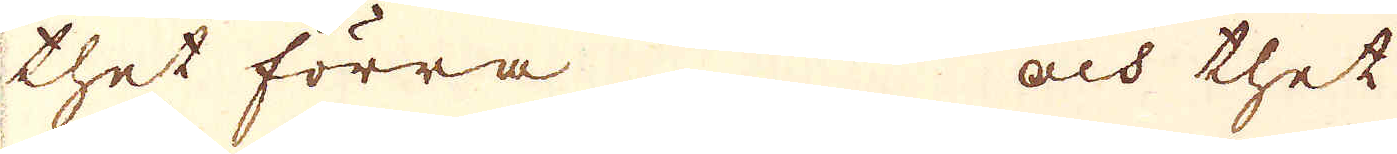thet förra och thet
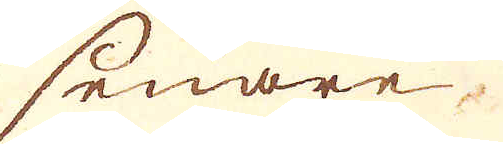senare.
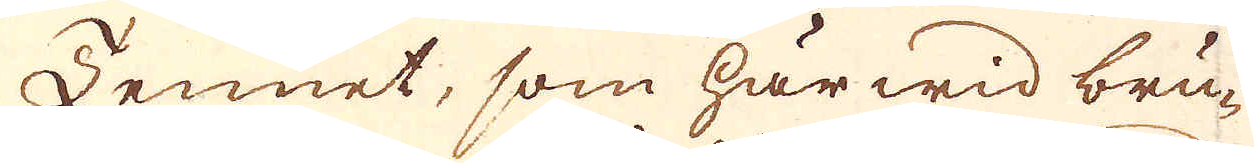Tennet, som här wid bru-
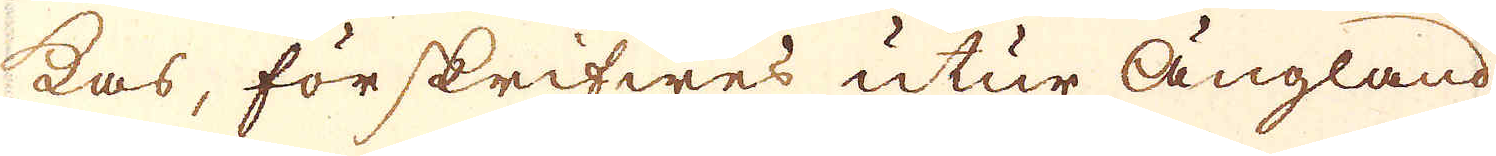kas, förskrifwes utur Ängland
